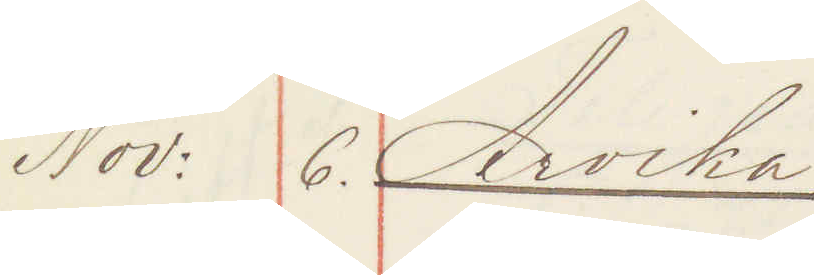Nov: 6. Arvika:
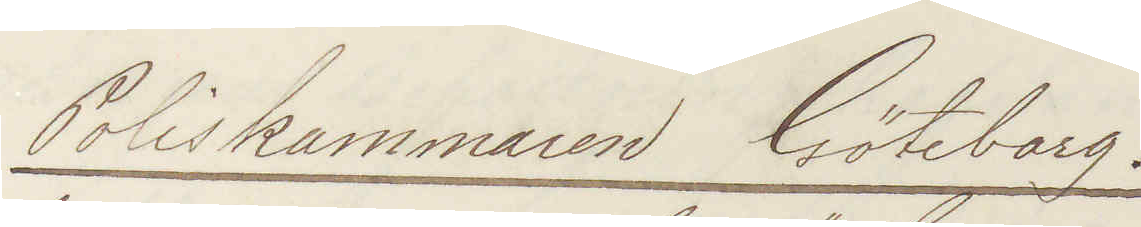Poliskammaren Göteborg.
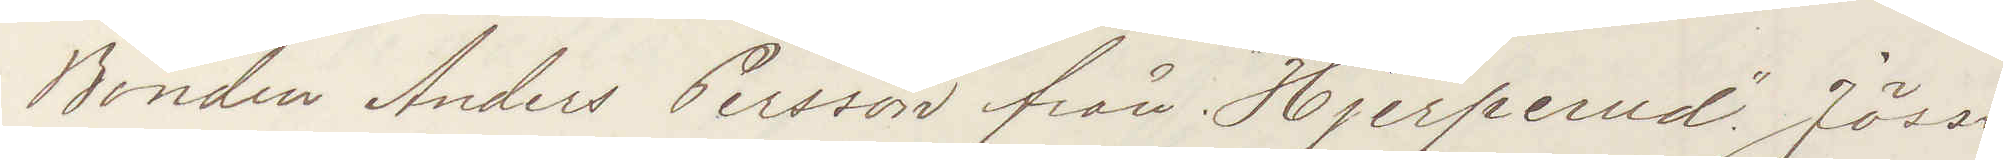Bonden Anders Persson från "Hjerperud" Jösse
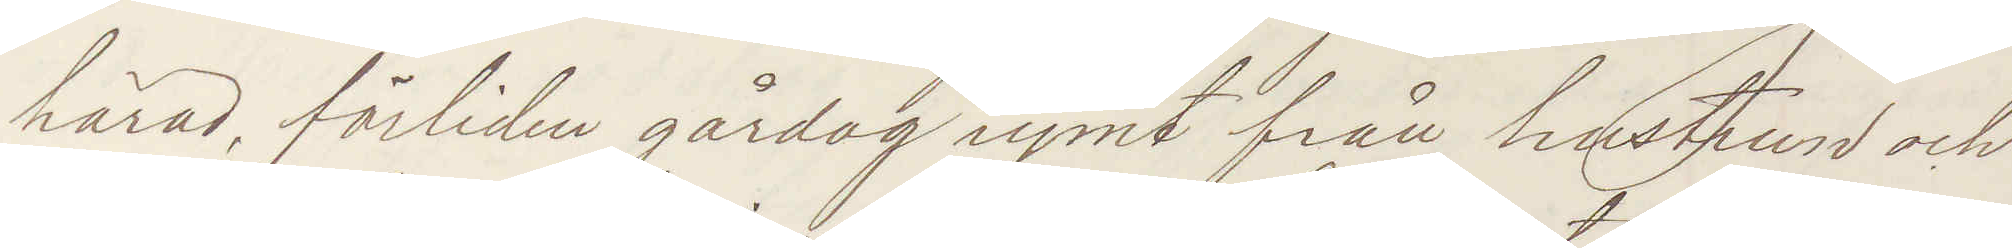härad, förliden gårdag rymt från hustrun och
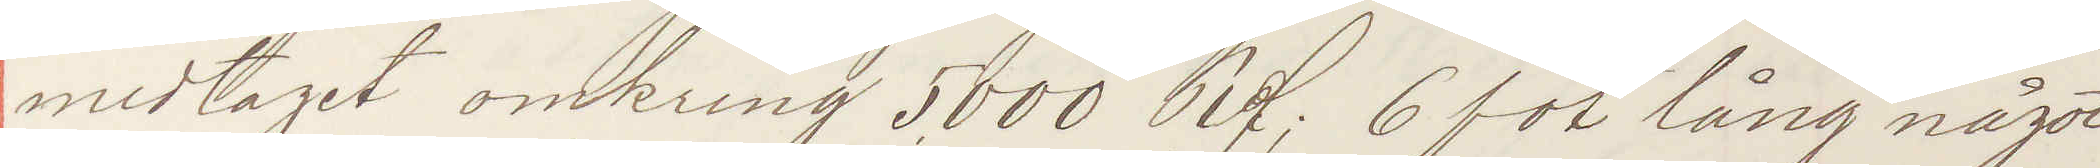medtaget omkring 5000 Rd; 6 fot lång något
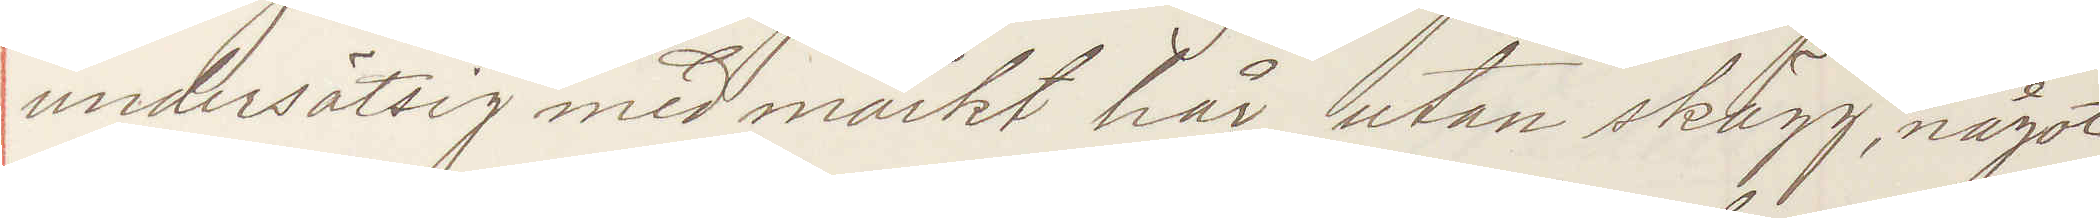undersätsig med mörkt hår utan skägg, något
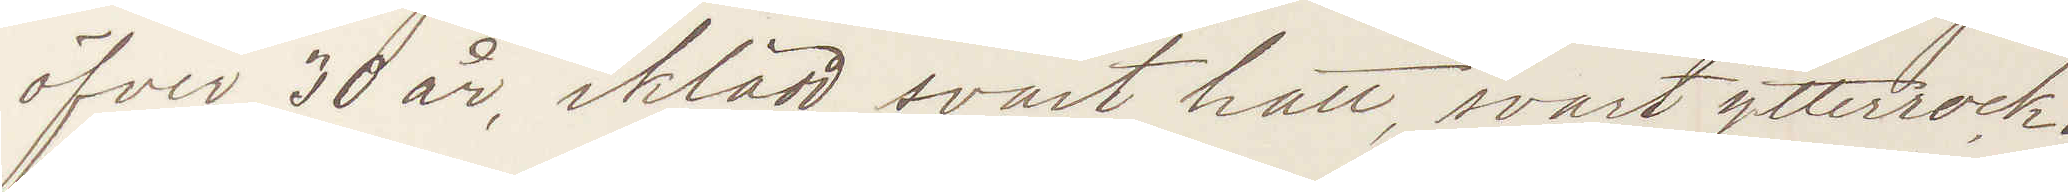öfver 30 år, iklädd svart hatt, svart ytterrock.
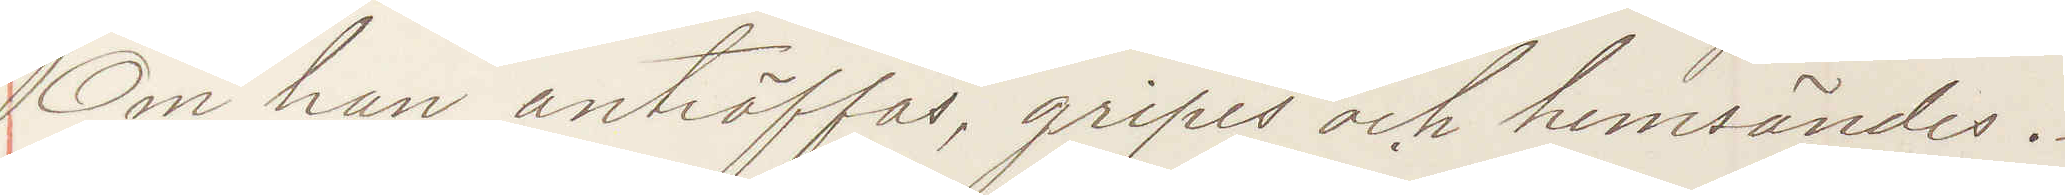Om han anträffas, gripes och hemsändes.
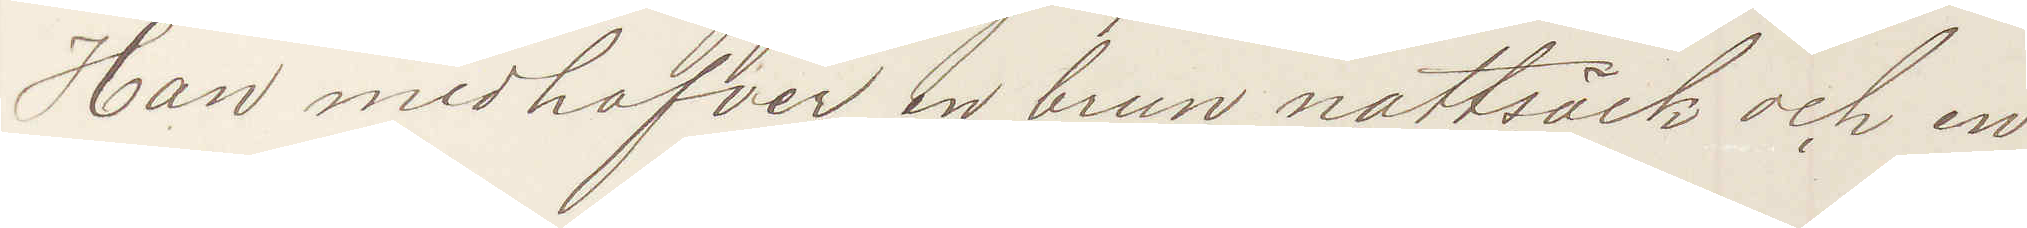Han medhafver en brun nattsäck och en
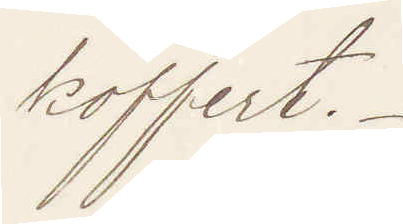koffert.
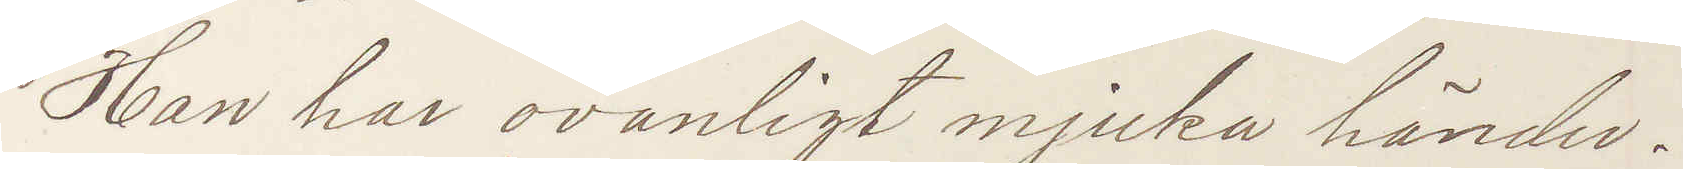Han har ovanligt mjuka händer.
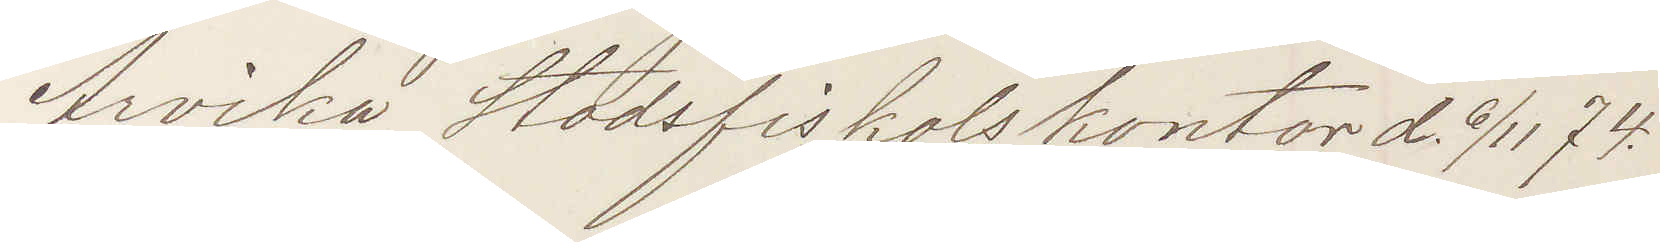Arvika Stadsfiskalskontor d. 6/11 74.
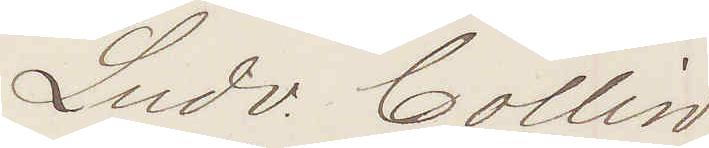Ludv. Collin
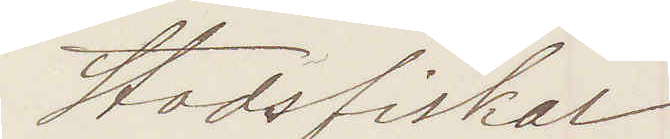Stadsfiskal
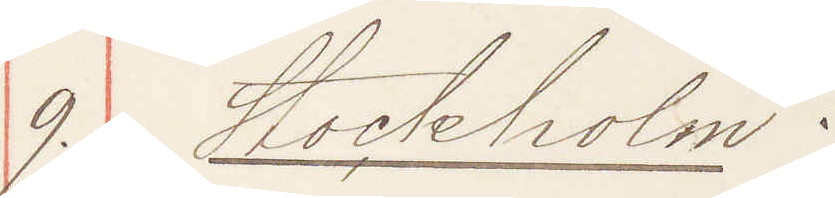9. Stockholm
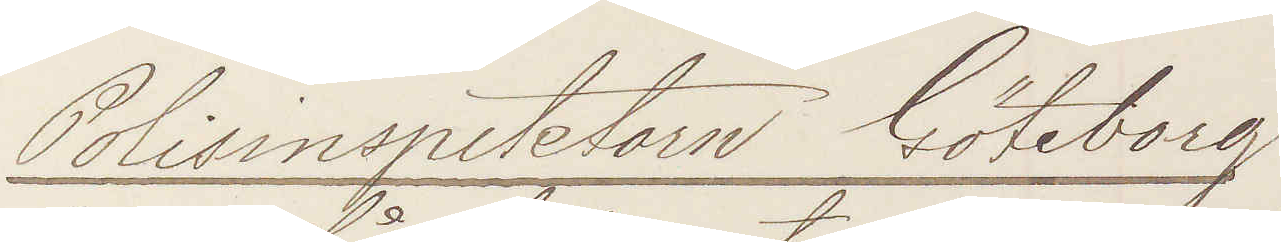Polisinspektorn Göteborg
